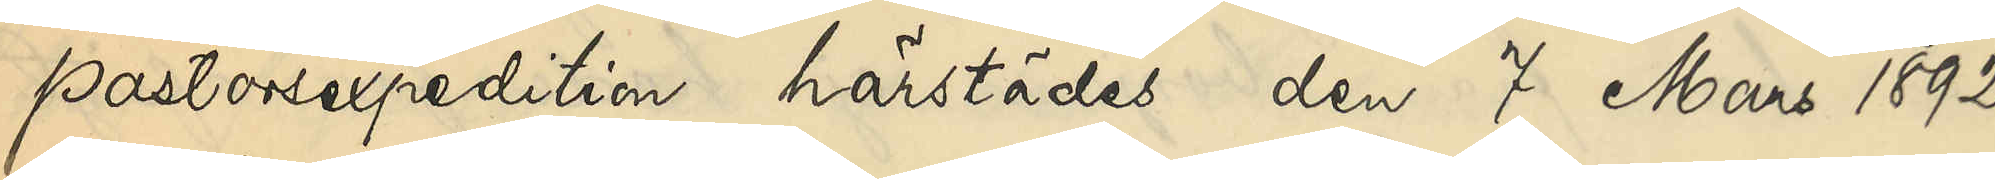pastorsexpedition härstädes den 7 Mars 1892
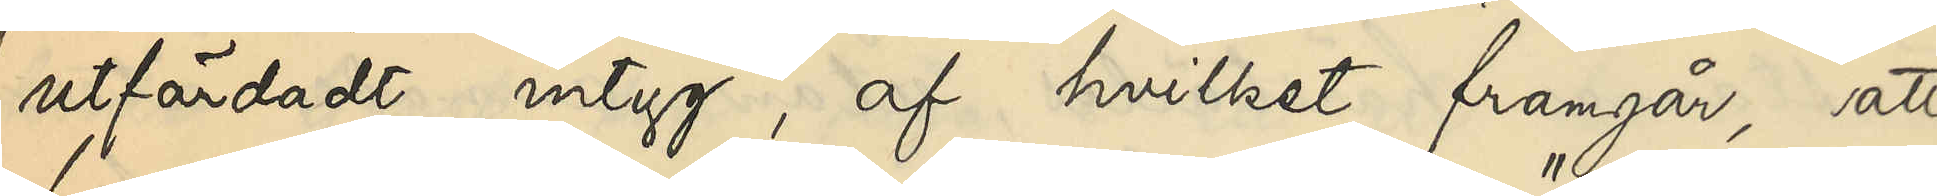utfärdadt intyg, af hvilket framgår, att
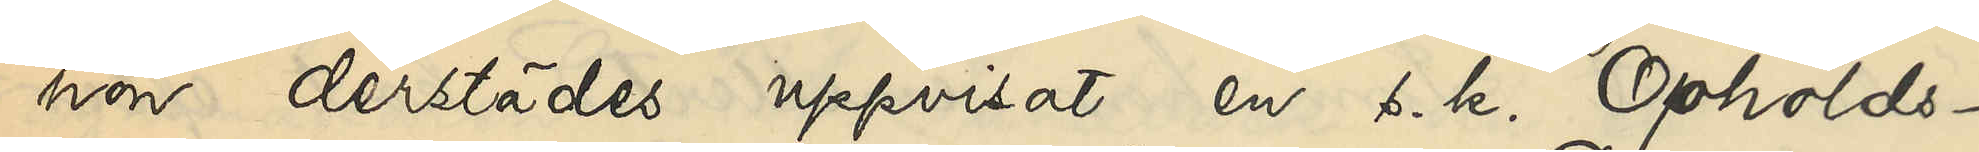hon derstädes uppvisat en s. k. "Opholds¬
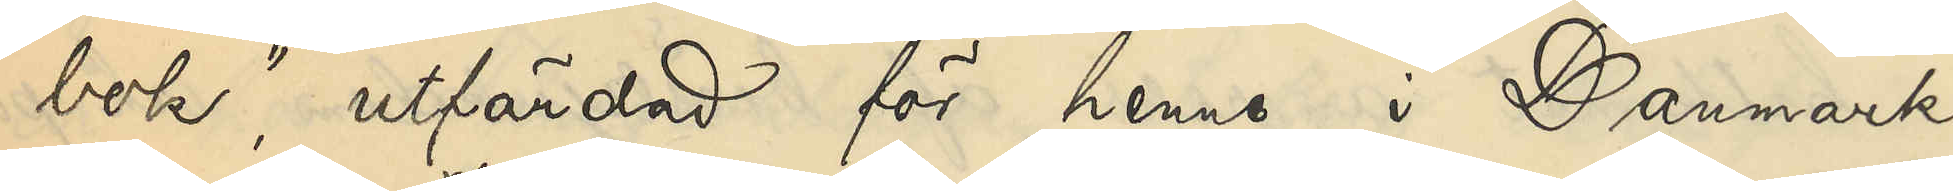bok", utfärdad för henne i Danmark
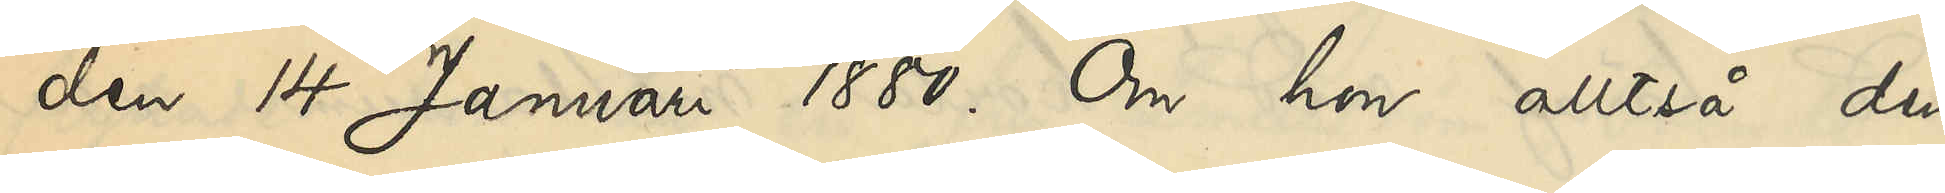den 14 Januari 1880. Om hon alltså den
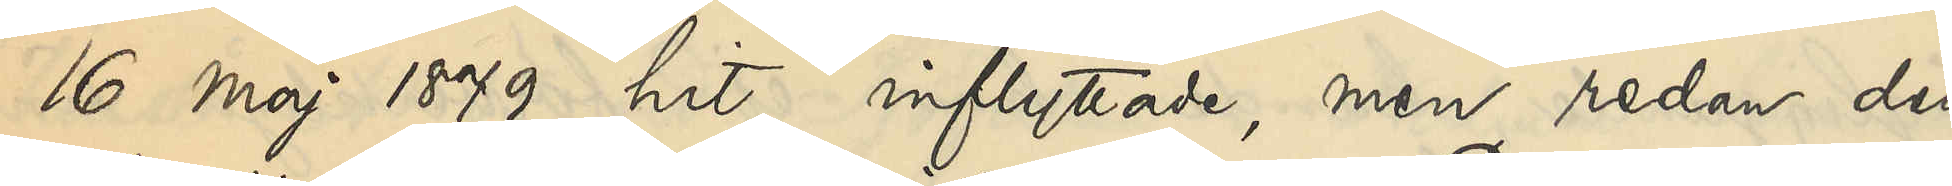16 Maj 1879 hit inflyttade, men sedan den
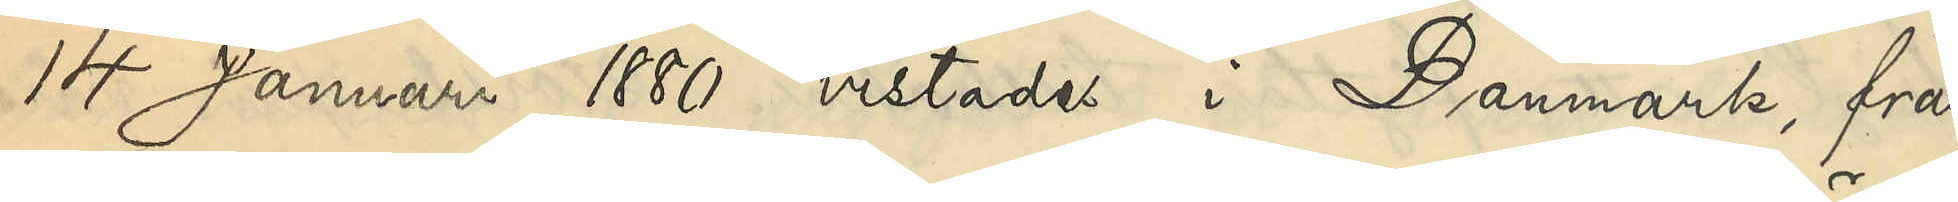14 Januari 1880 vistades i Danmark, fram¬
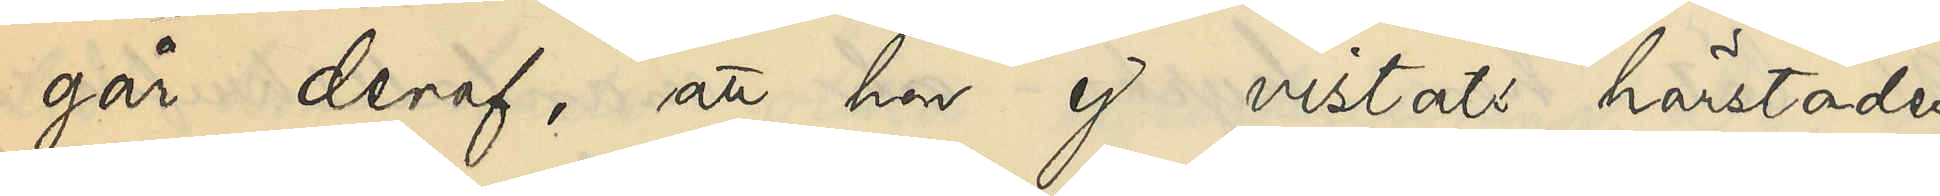går deraf, att hon ej vistats härstädes
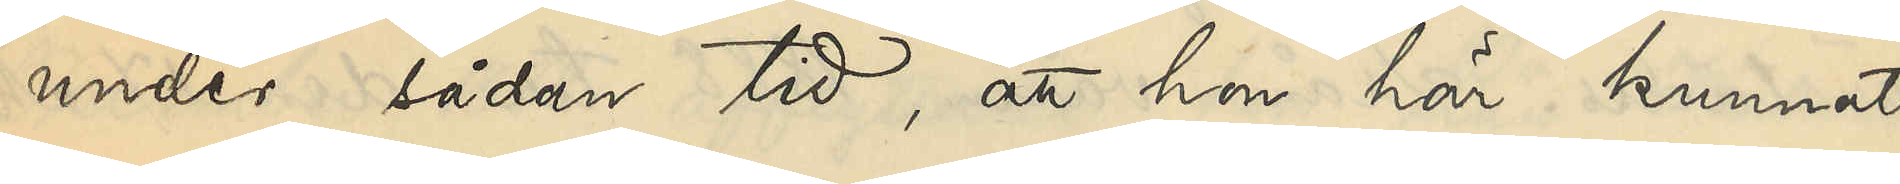under sådan tid, att hon här kunnat
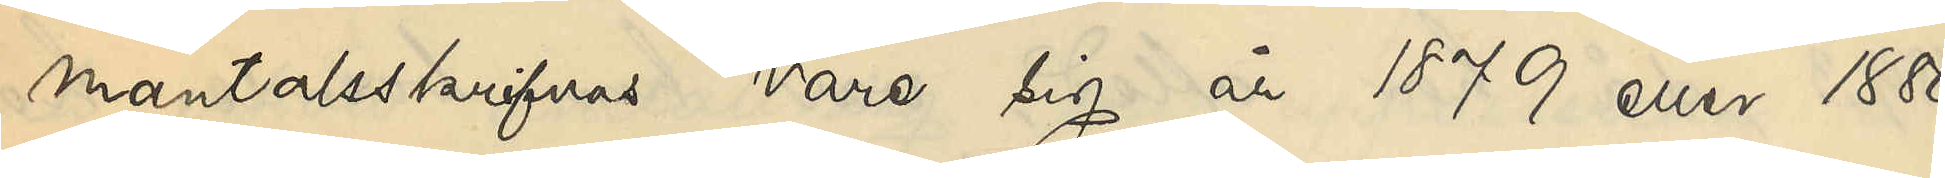mantalsskrifvas vare sig år 1879 eller 1880.
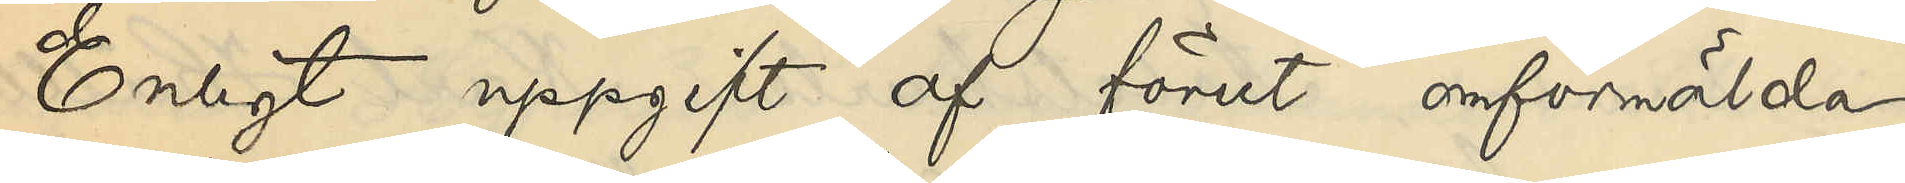Enligt uppgift af förut omförmälda
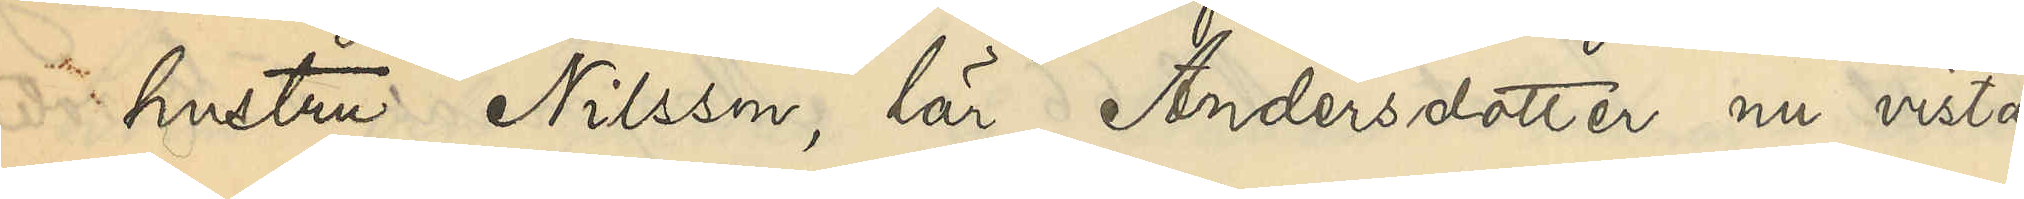hustru Nilsson, lär Andersdotter nu vistas
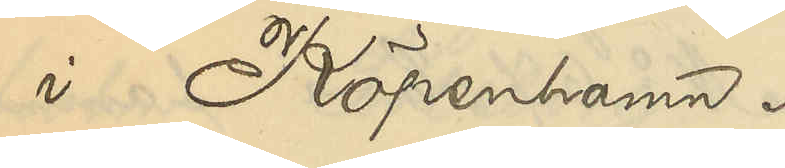i Köpenhamn.
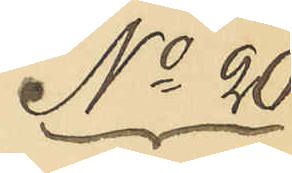No 20
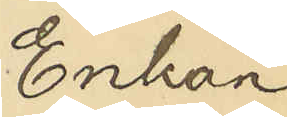Enkan
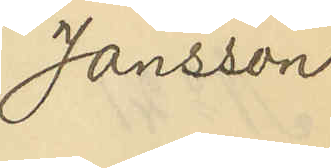Jansson
